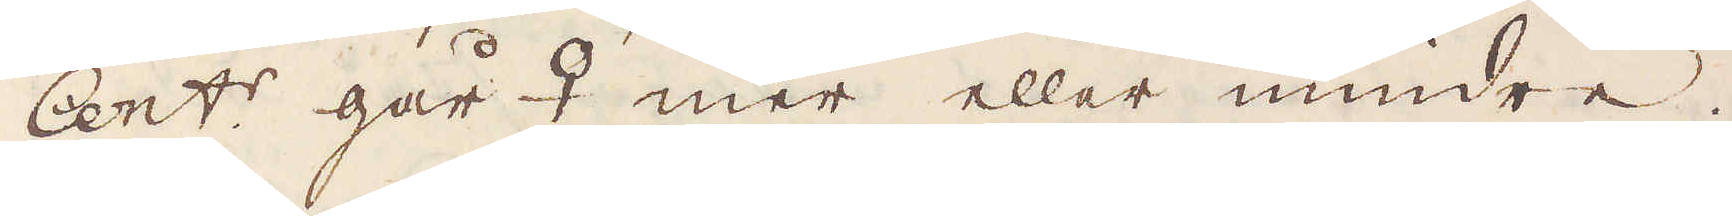Cent:r går ♀ mer eller mindre.
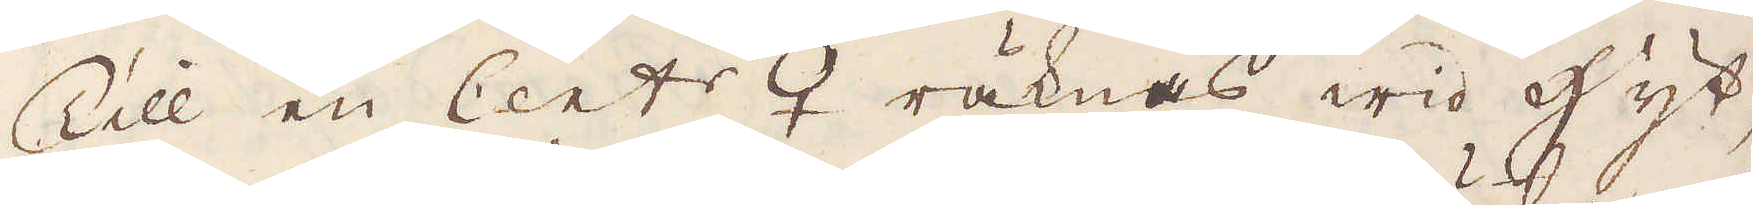Till en Cent:r ♀ räknas wid hyt-
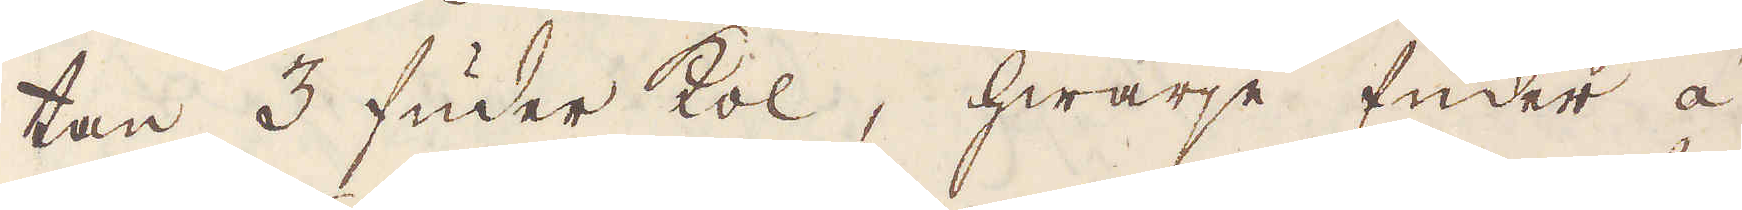tan 3 fuder kol, hwarje fuder à
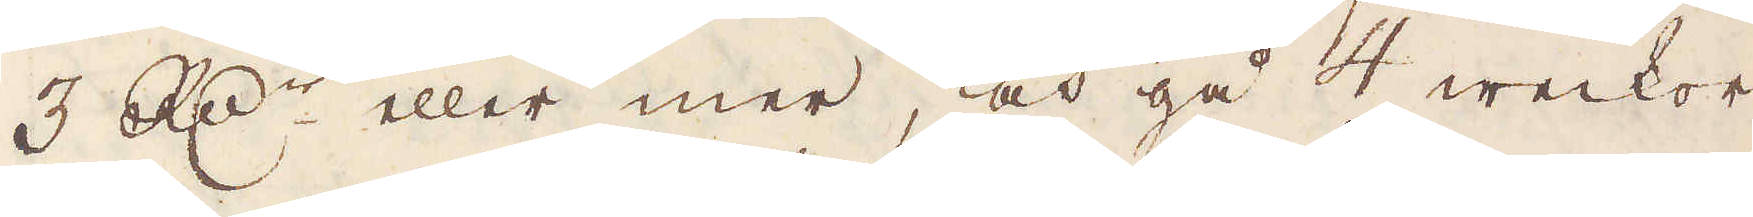3 R:dr eller mer, och gå 4 weckor
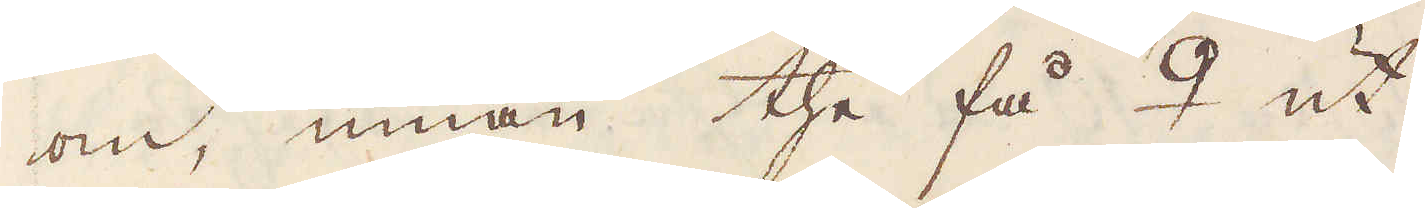om, innan the få ♀ ut.
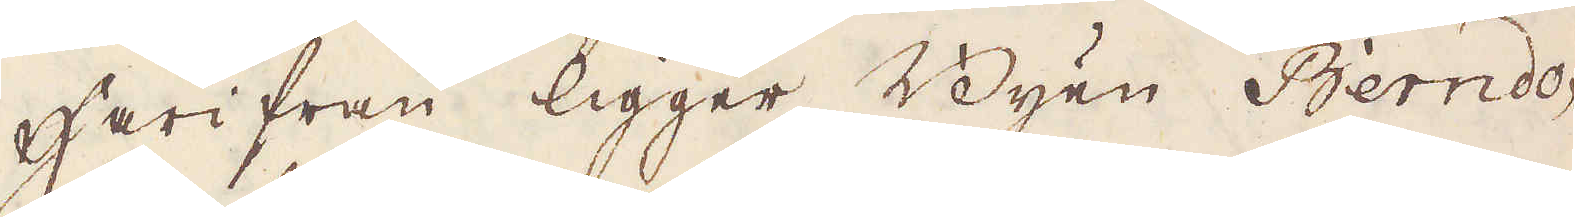Härifrån ligger Byen Berndo-
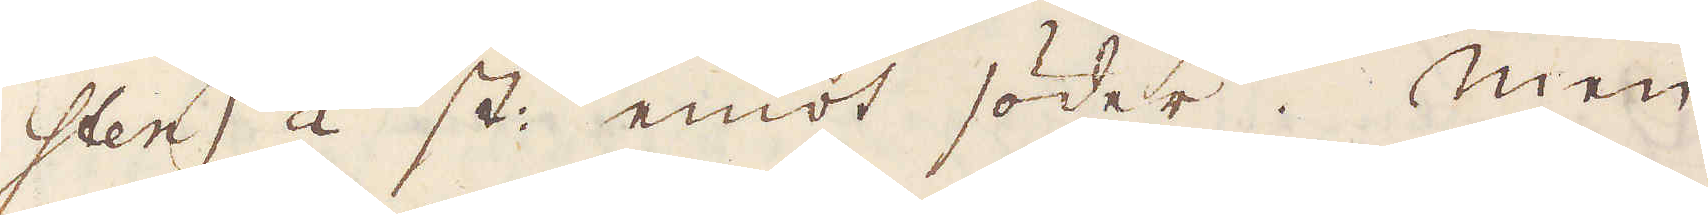sten 1/2 st emot söder. Men
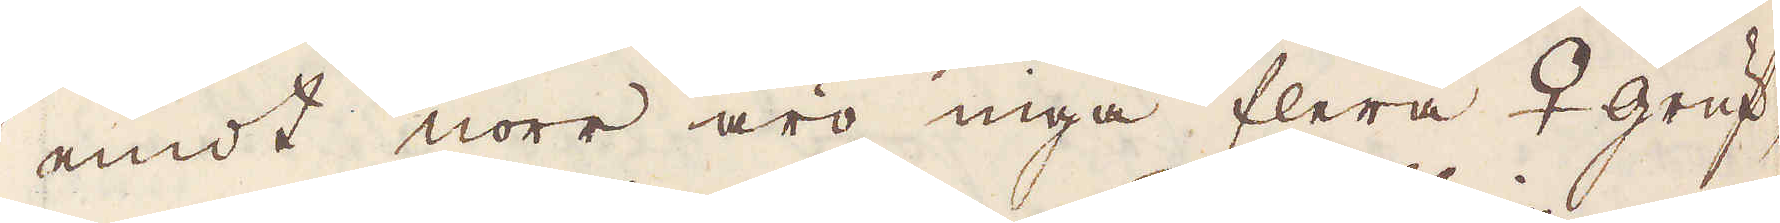emot norr äro inga flera ♀ gruf-
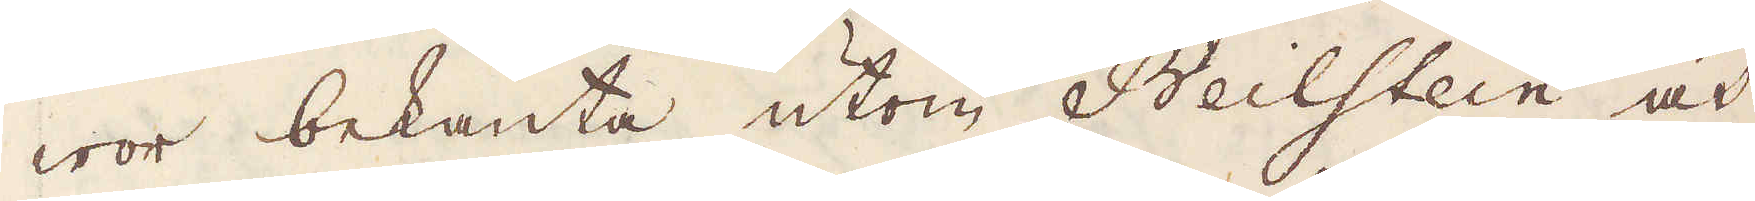wor bekanta, utom Beilstein och
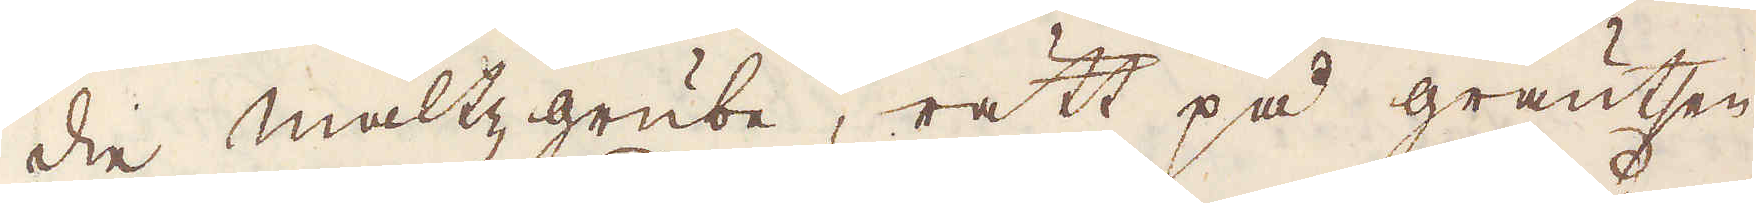die maltzgrube, rätt på gräntsen
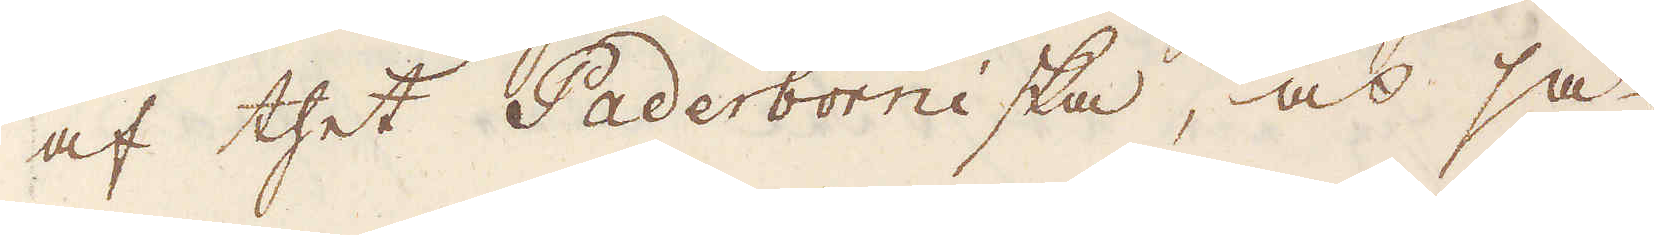af thet Paderborniska, och så
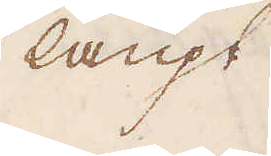långt
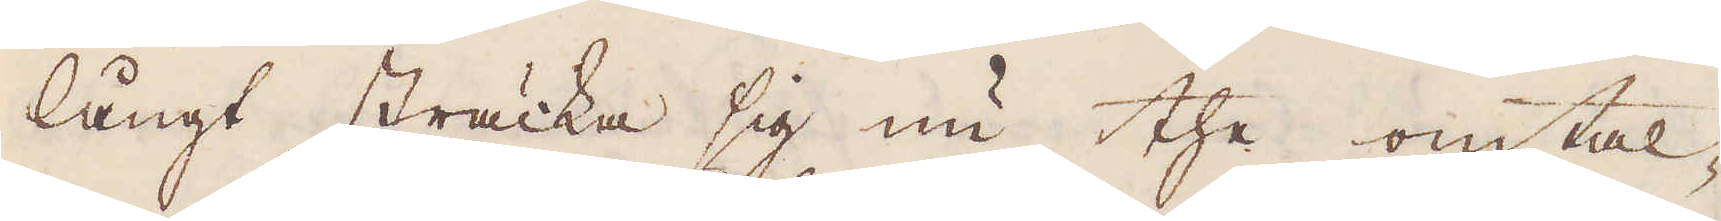långt sträcka sig nu the omtal-
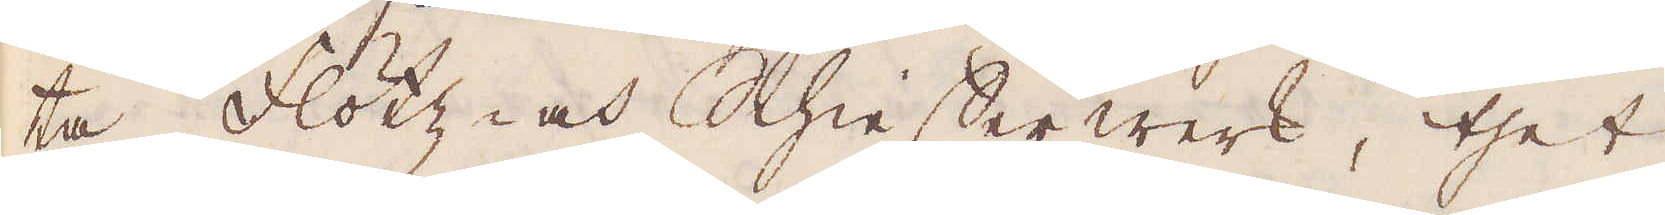ta Flötz och Schiefer werk, thet
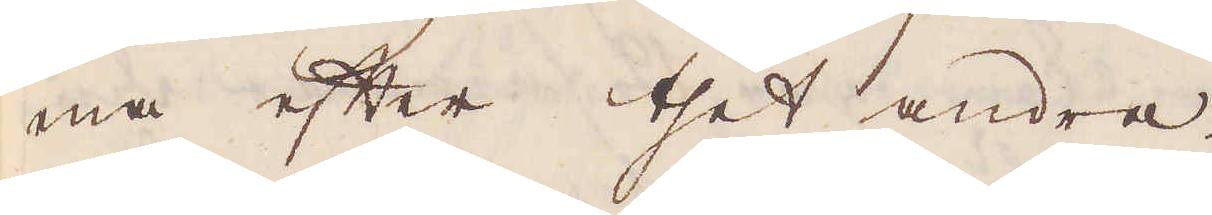ena efter thet andre.
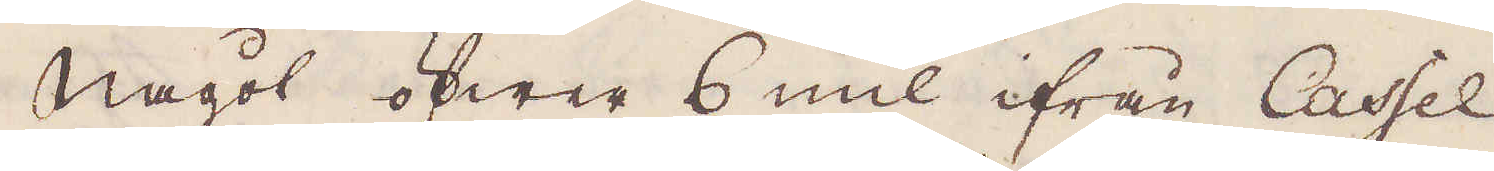Något öfwer 6 mil ifrån Cassel
